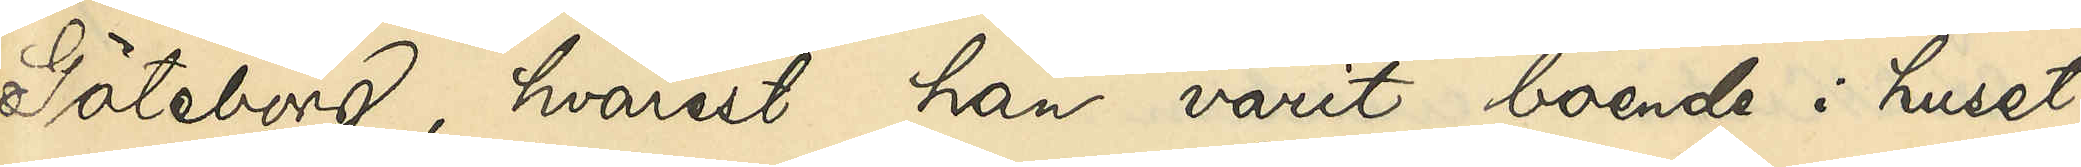Göteborg, hvarest han varit boende i huset
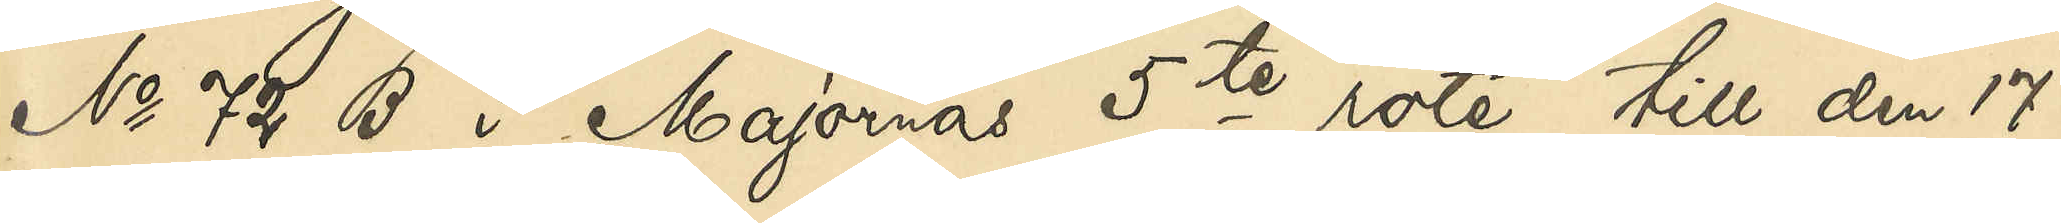No 72 B i Majornas 5te rote till den 17
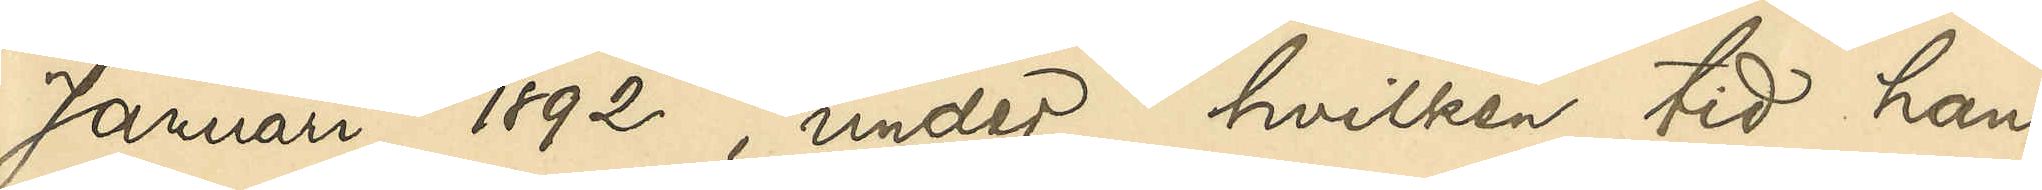Januari 1892, under hvilken tid han
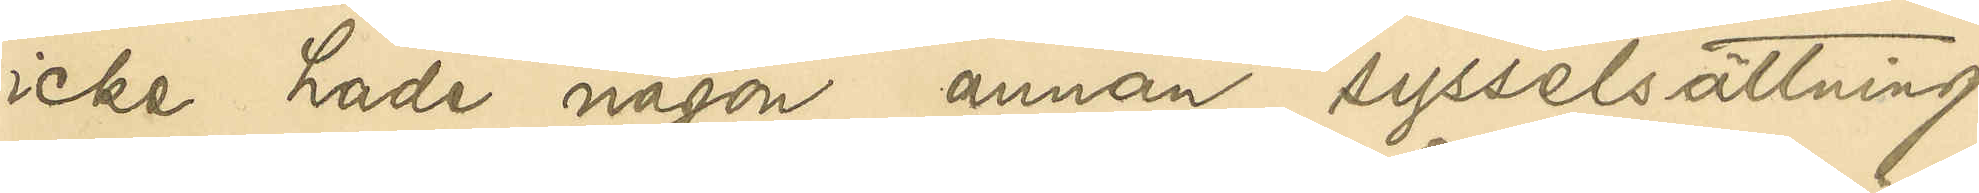icke hade någon annan sysselsättning
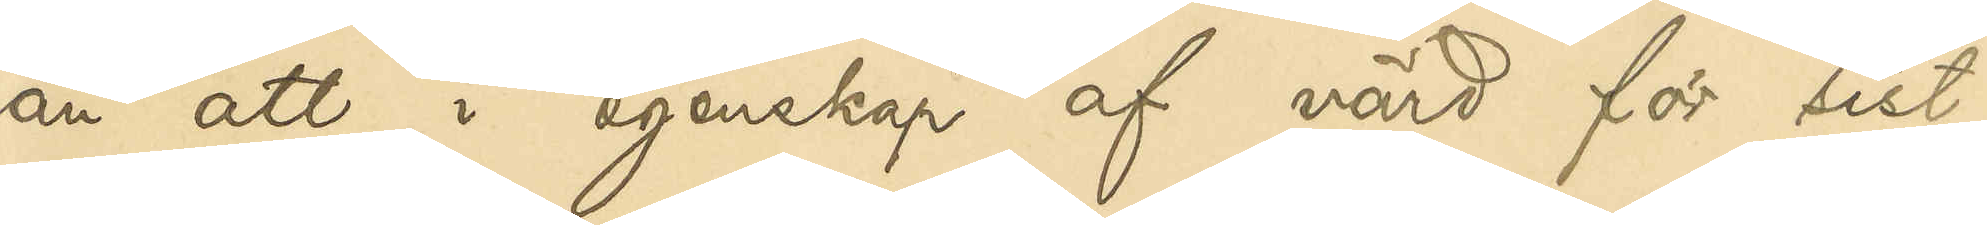än att i egenskap af värd för sist¬
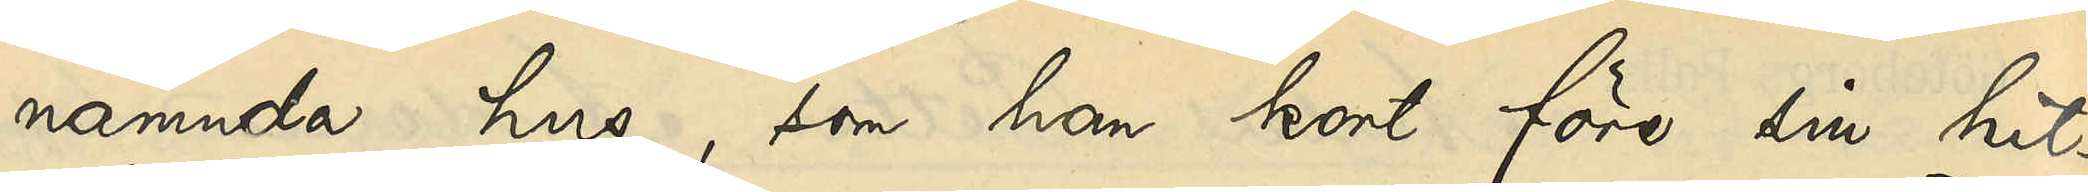nämnda hus, som han kort före sin hit¬
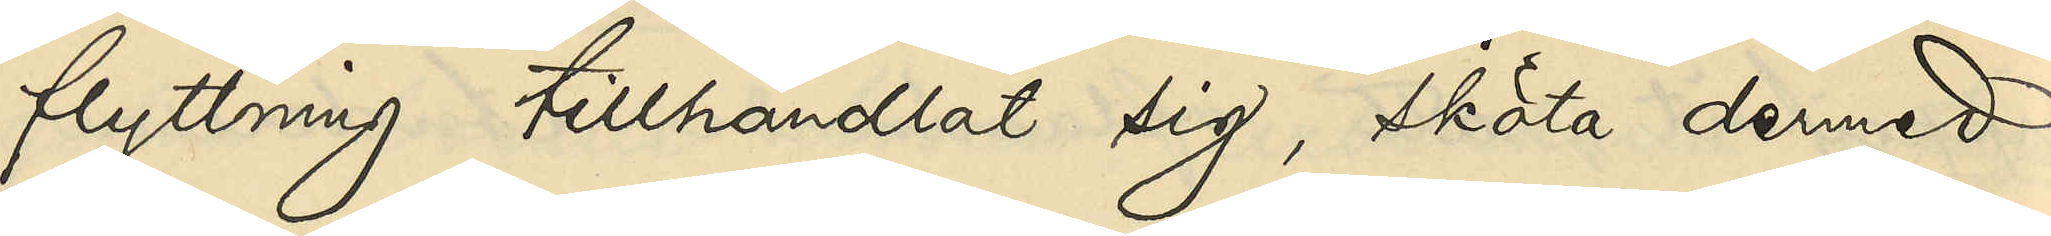flyttning tillhandlat sig, sköta dermed
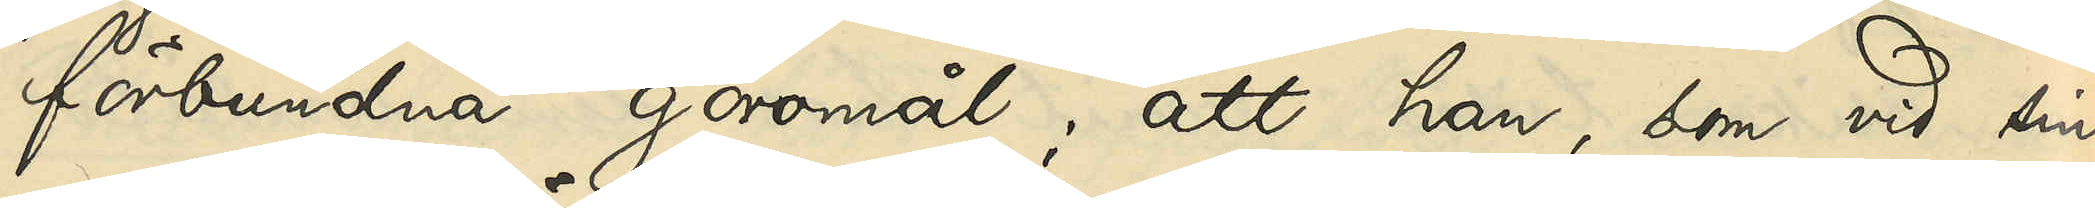förbundna göromål; att han, som vid sin
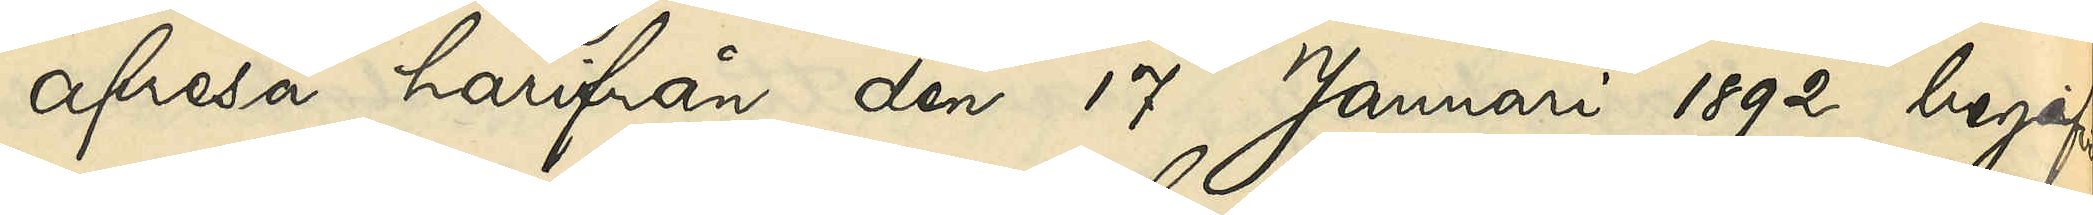afresa härifrån den 17 Januari 1892 begaf
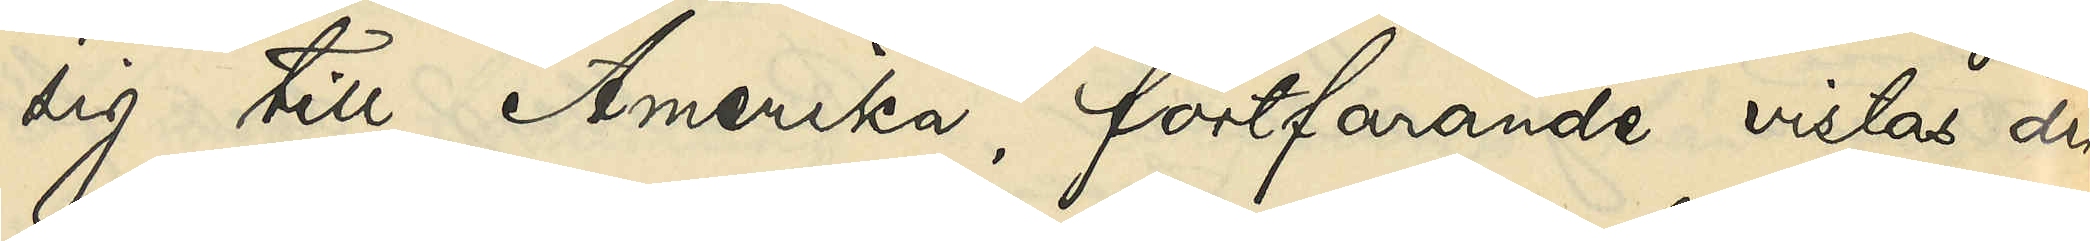sig till Amerika, fortfarande vistas der¬
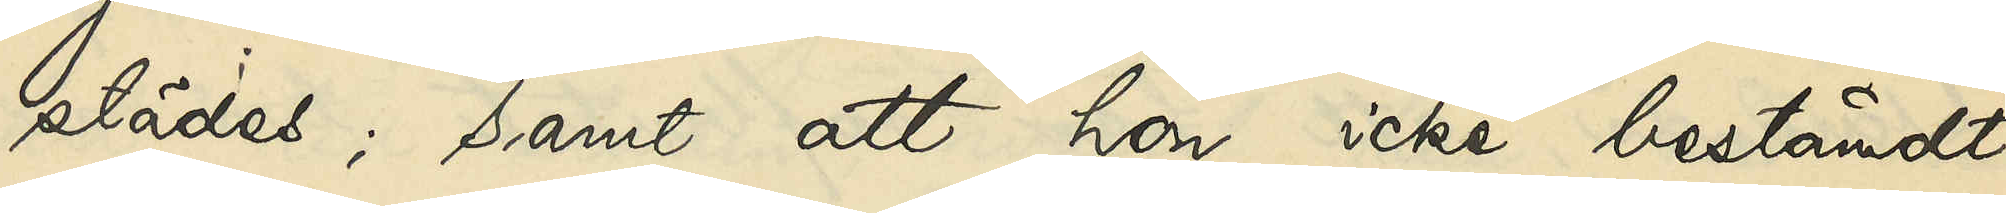städes; samt att hon icke bestämdt
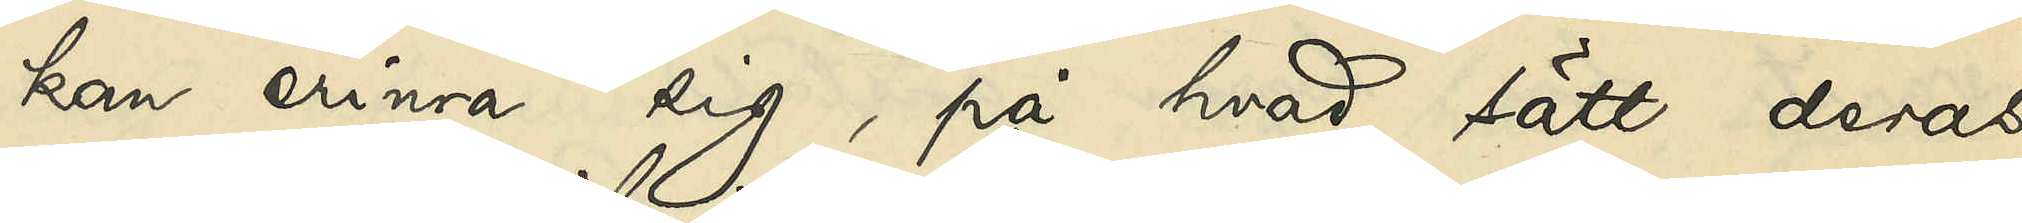kan erinra sig, på hvad sätt deras
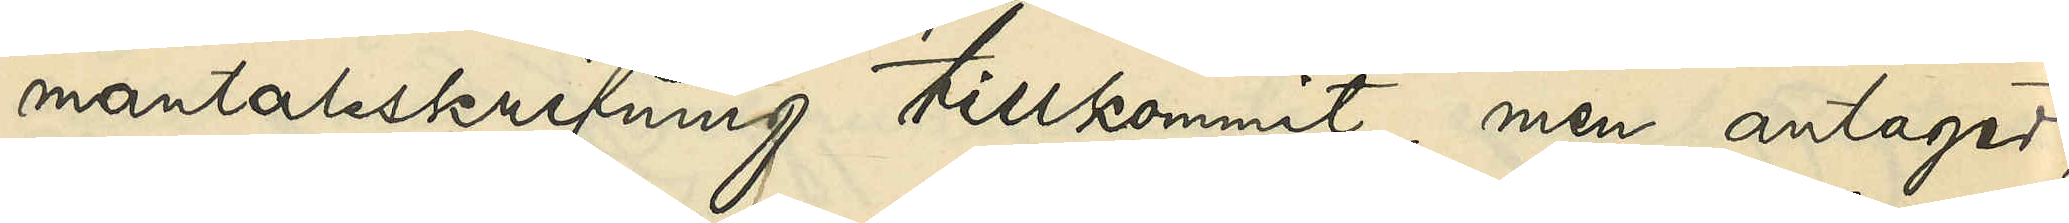mantalsskrifning tillkommit, men antager,
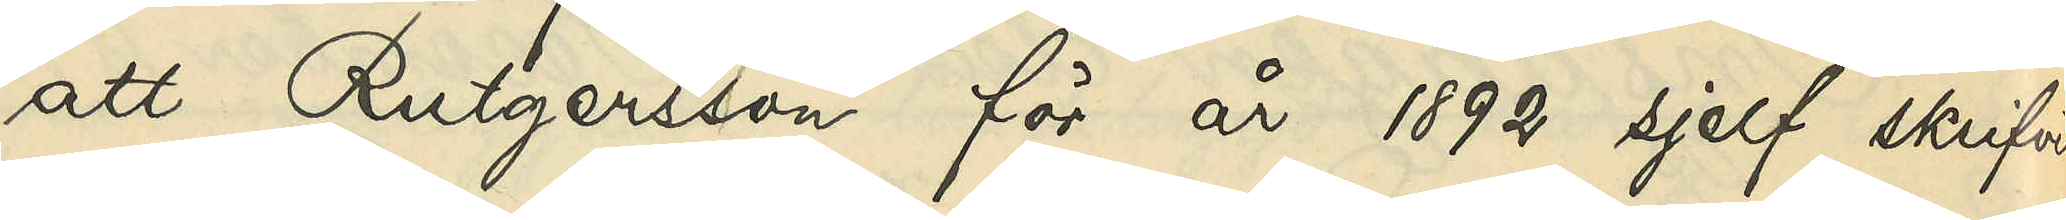att Rutgersson för år 1892 sjelf skrifvit
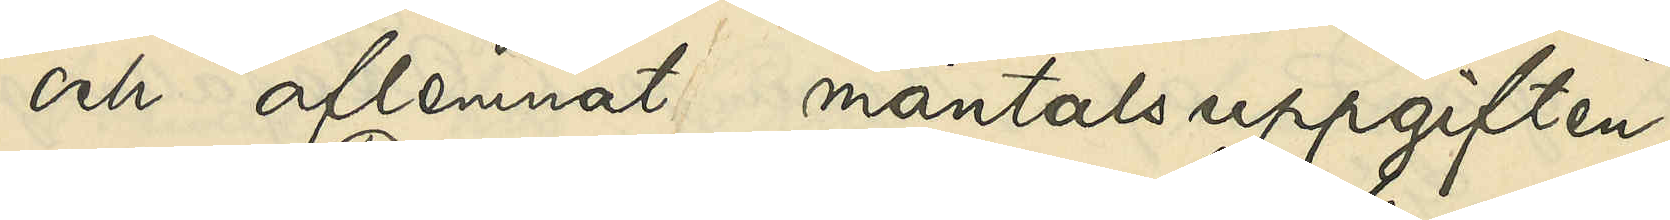och aflemnat mantalsuppgifter.
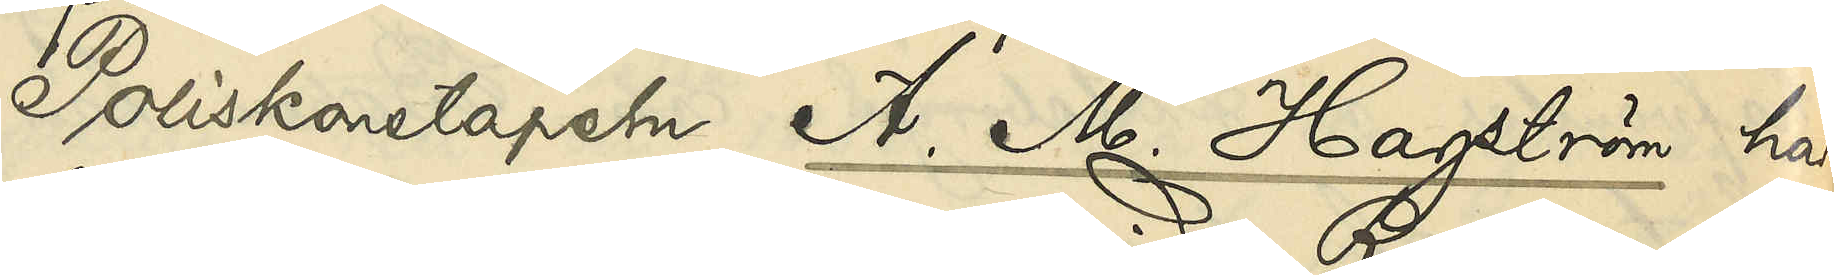Poliskonstapel A. M. Hagström har
